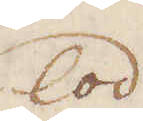lod
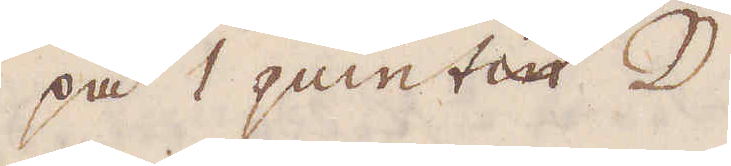på 1 quintin ☽
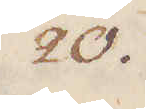20.
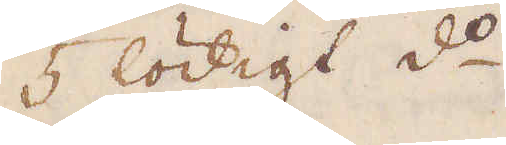5 lödigt d:o
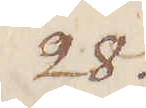28.
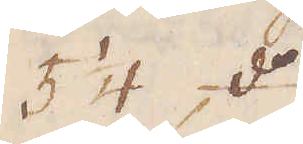5 1/4 d:o
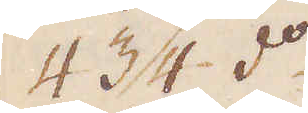4 3/4 d:o
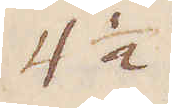4 1/2
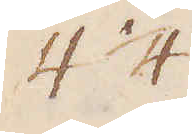4 1/4.
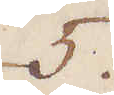5
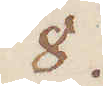8.
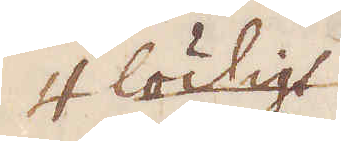4 lödigt
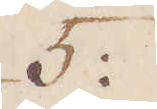5
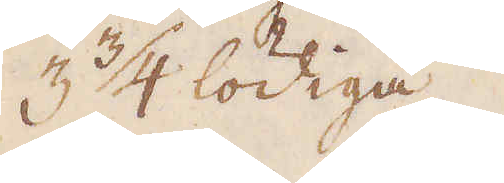3 3/4 lödiga.
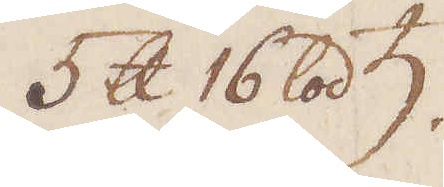5 skålpund 16 lod ♄
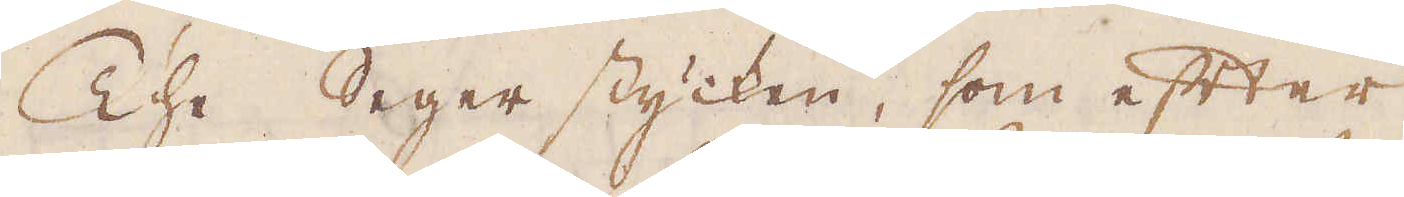The Seger stycken, som efter
